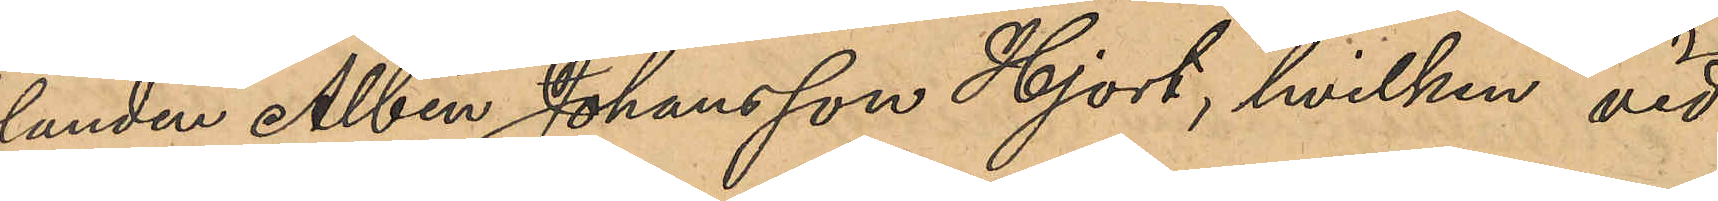landen Albin Johansson Hjort, hvilken vid
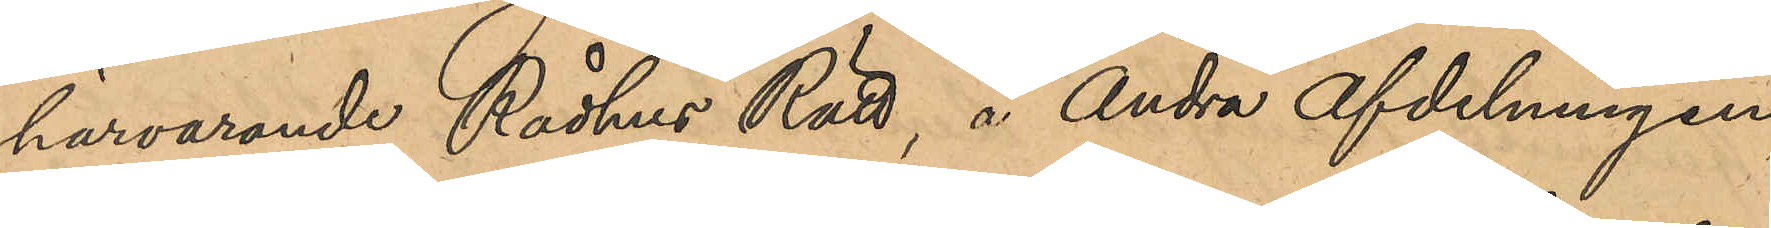härvarande Rådhus Rätt, å andra afdelningen,
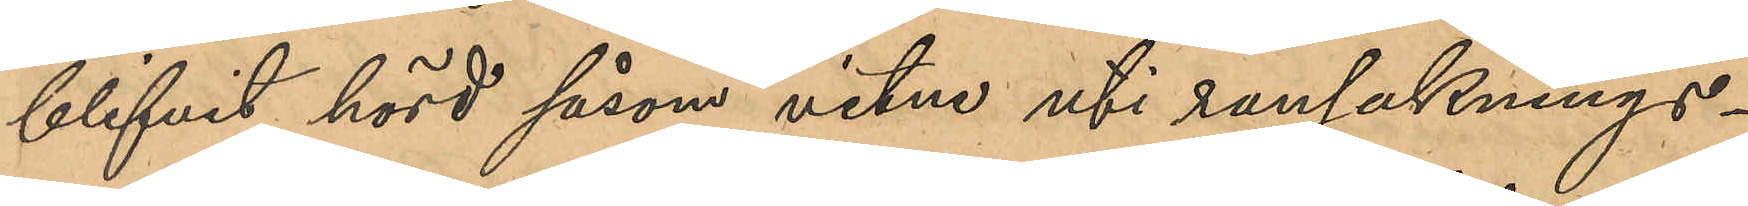blifvit hörd såsom vitne uti rannsaknings¬
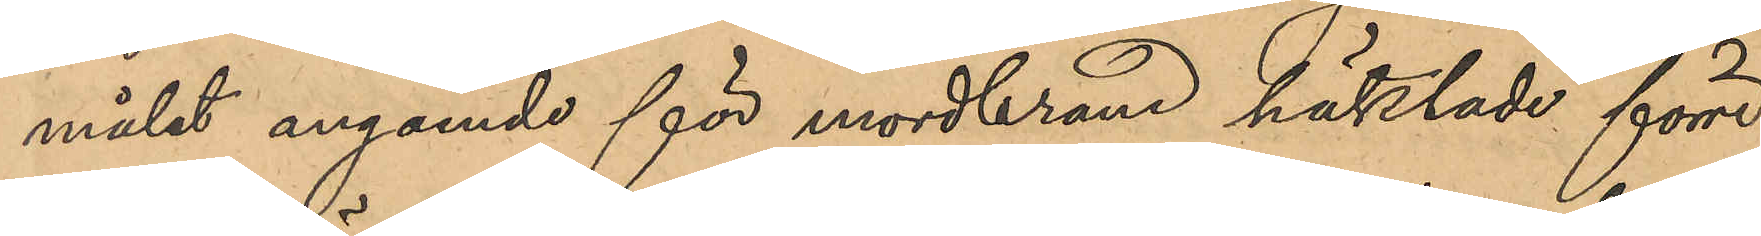målet angående för mordbrand häktade förre
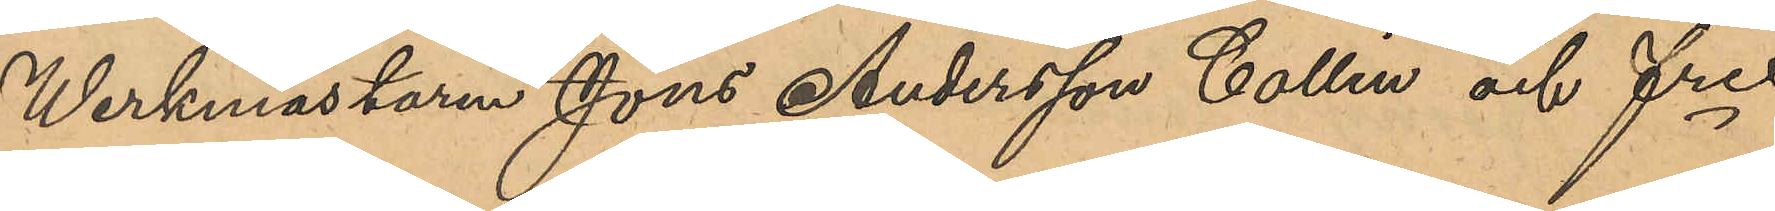Werkmästaren Jöns Andersson Collin och fre
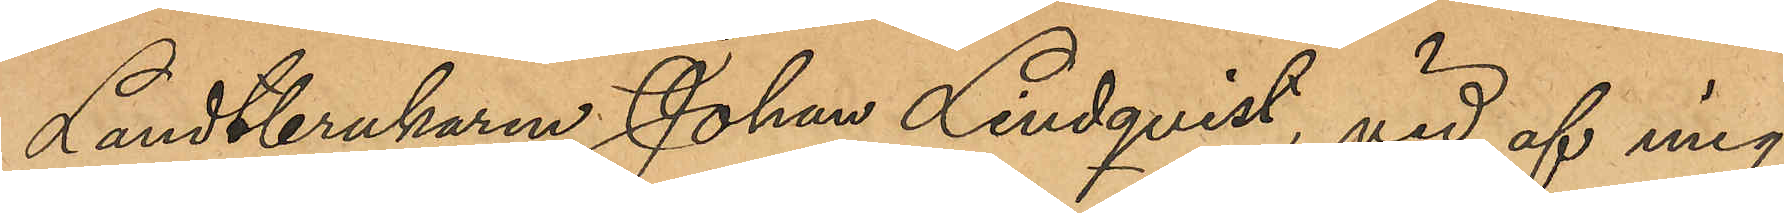Landtbrukaren Johan Lindqvist, vid af mig
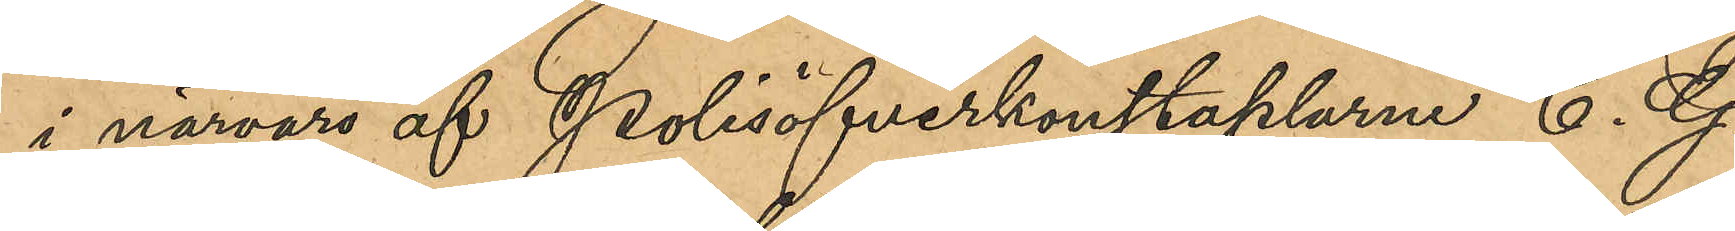i närvaro af Polisöfverkonstaplarne C. G.
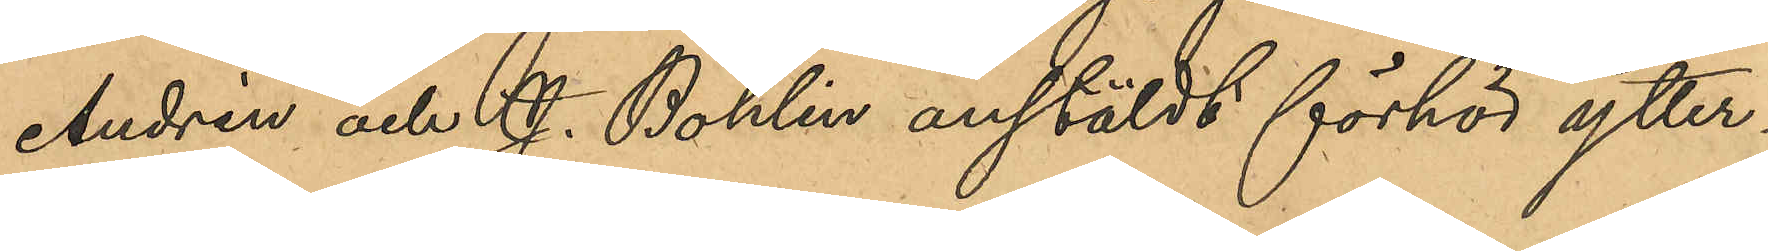Andrén och J. Bohlin anstäldt förhör ytter¬
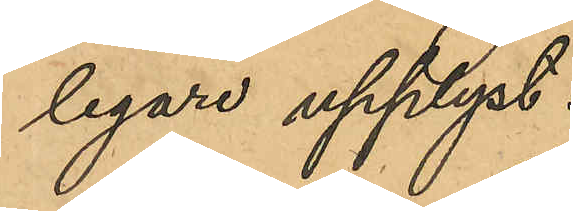ligare upplyst
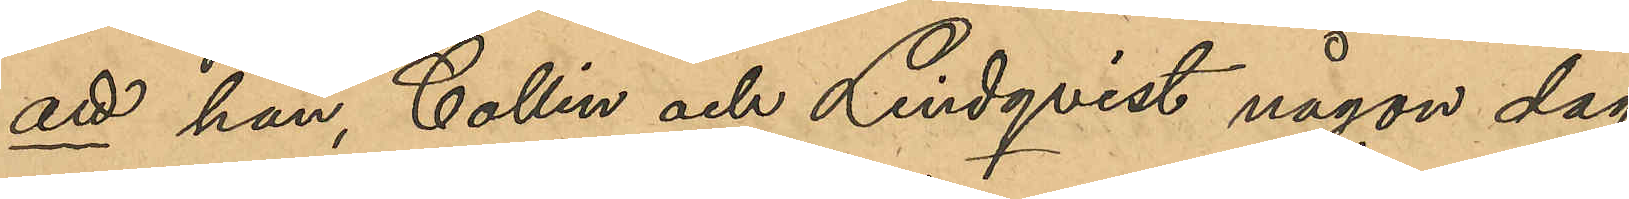att han, Collin och Lindqvist någon dag
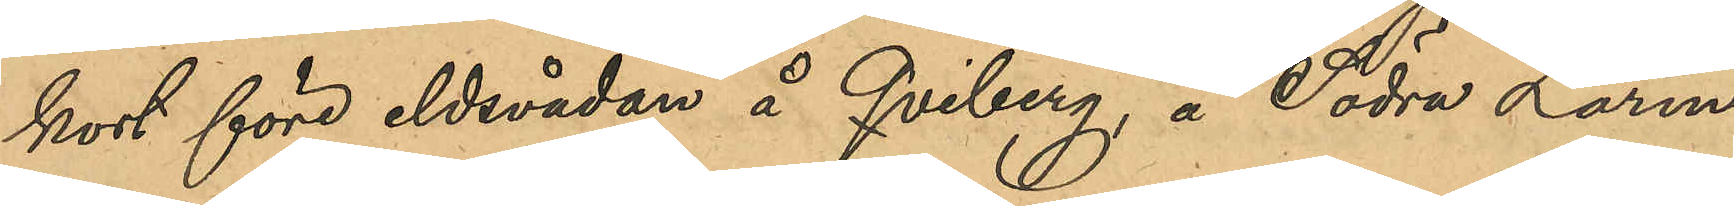kort före eldsvådan å Qviberg å Södra Larm¬
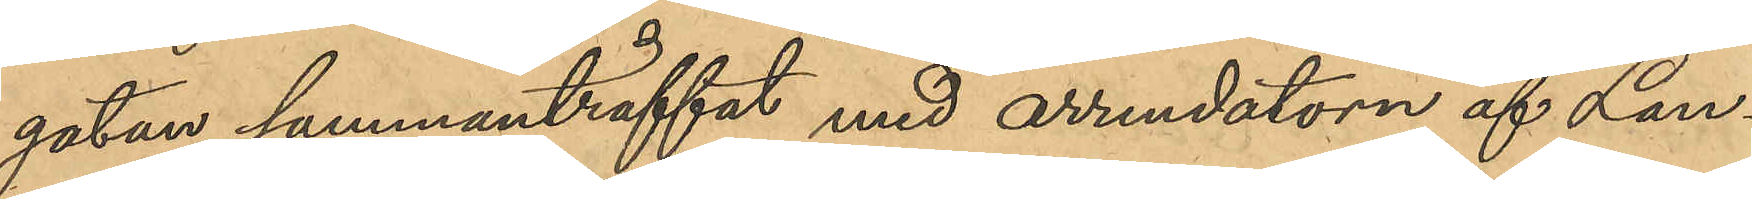gatan sammanträffat med arrendatorn af Lan¬
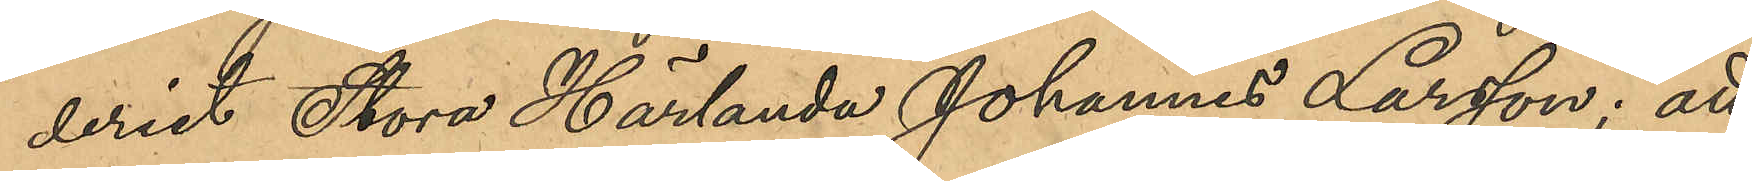deriet Stora Härlanda Johannes Larsson; att
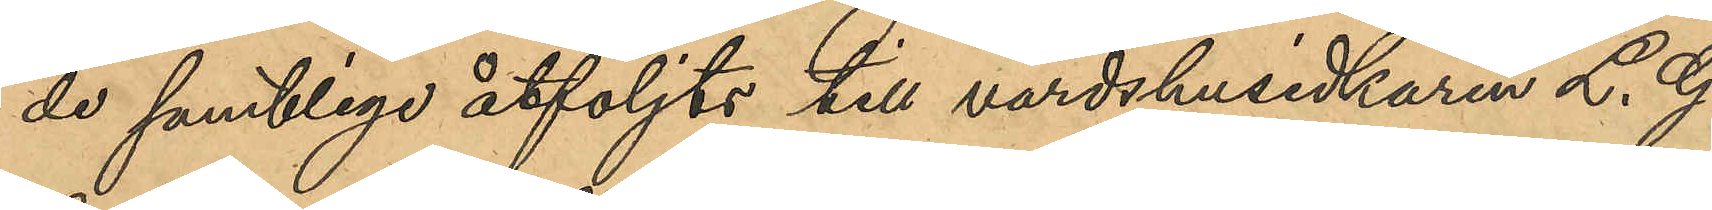de samtliga åtföljts till värdshusidkaren L. G.
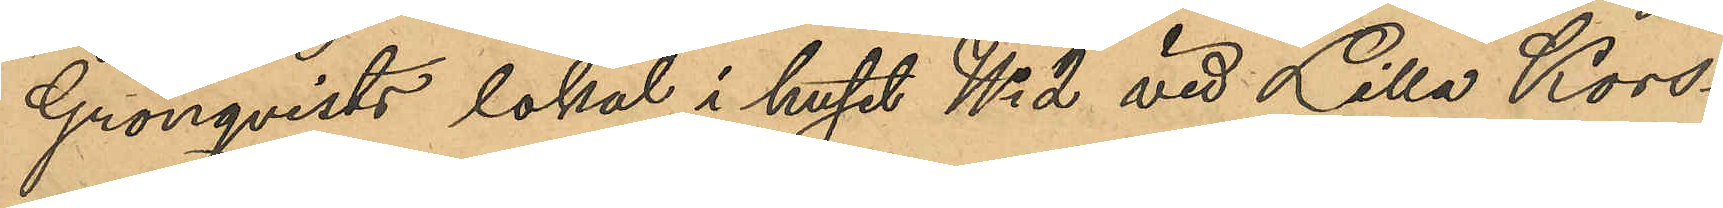Grönqvists lokal i huset No 2 vid Lilla Kors¬
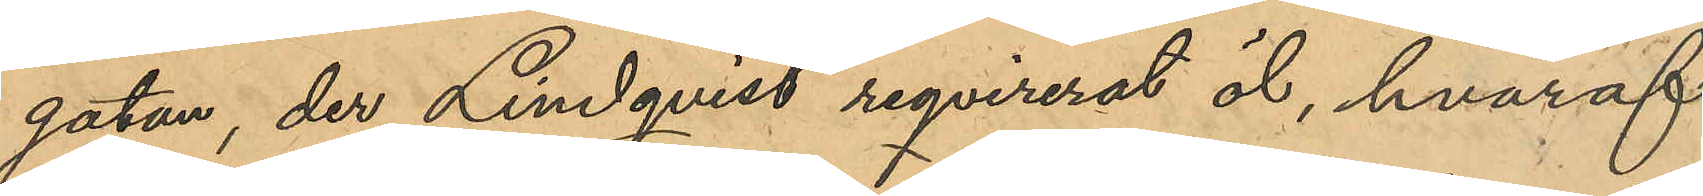gatan, der Lindqvist reqvirerat öl, hvaraf
